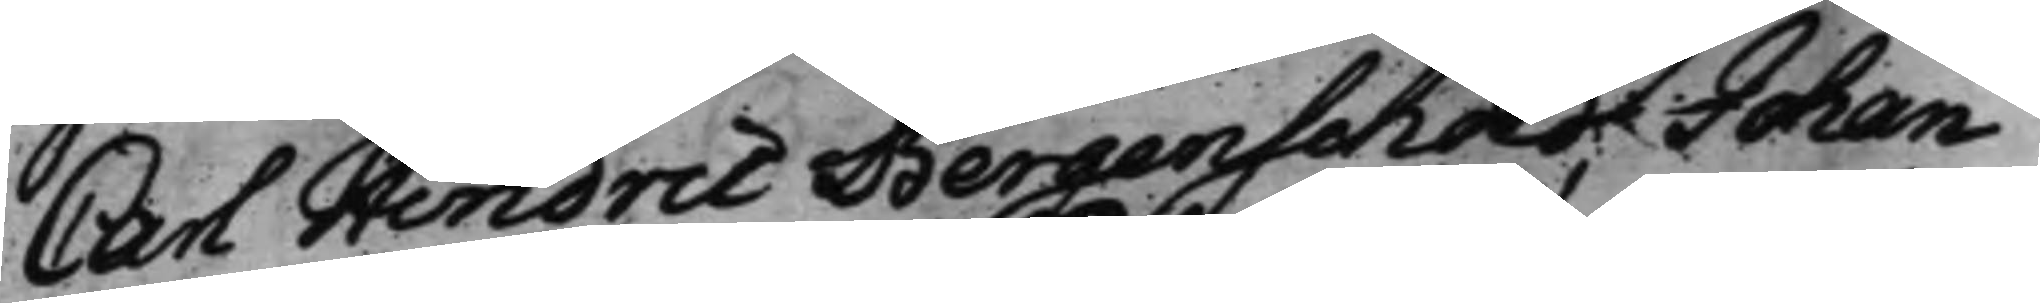Carl Hindric Bergenschöld, Johan
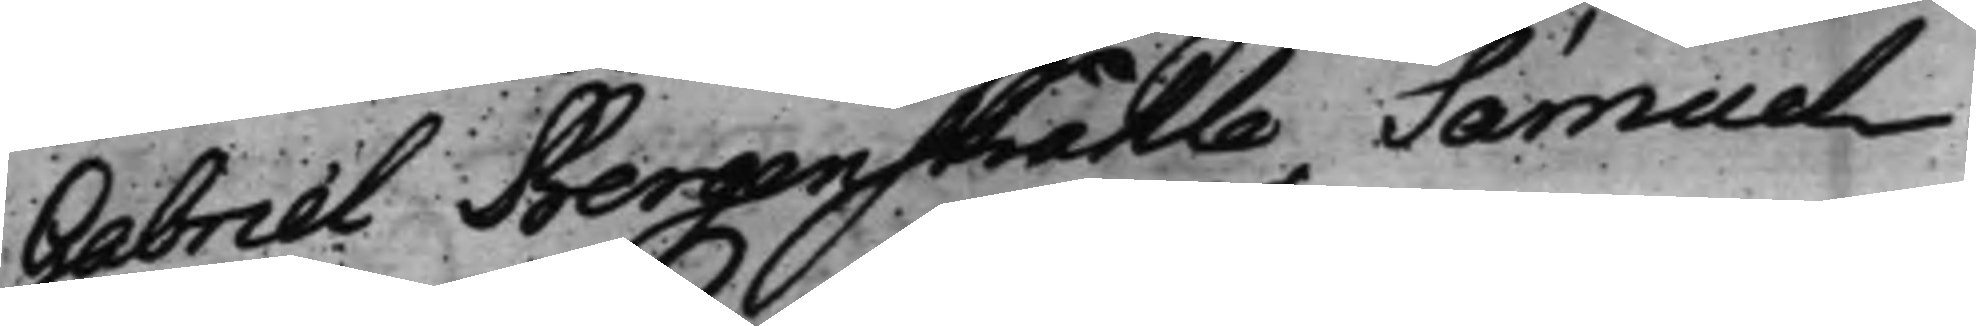Gabriel Bergenstråhle Samuel
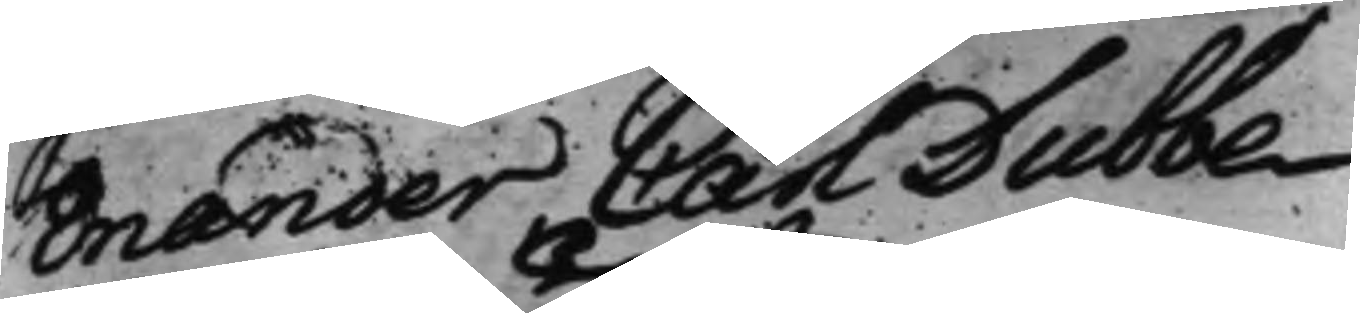Enander, Carl Dubbe
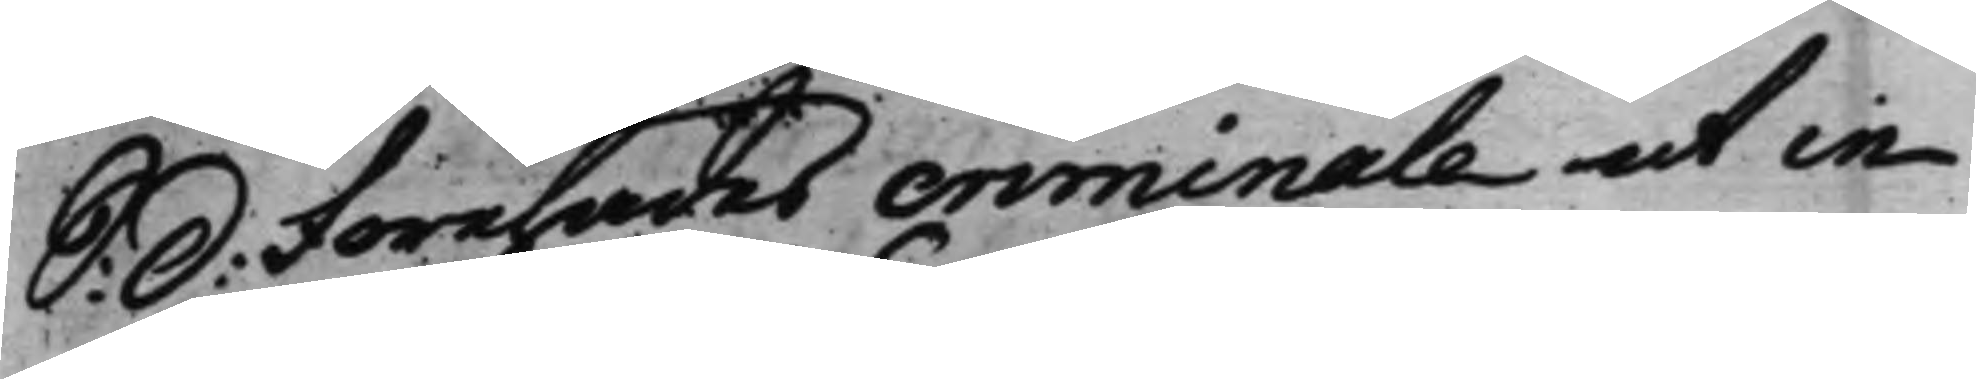S: d: Förehades criminale ut in
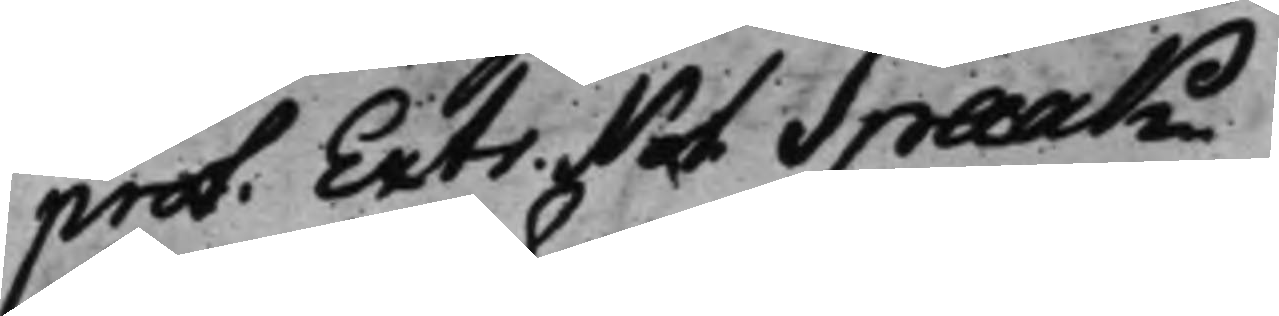prot: Extr. Not Spaak.
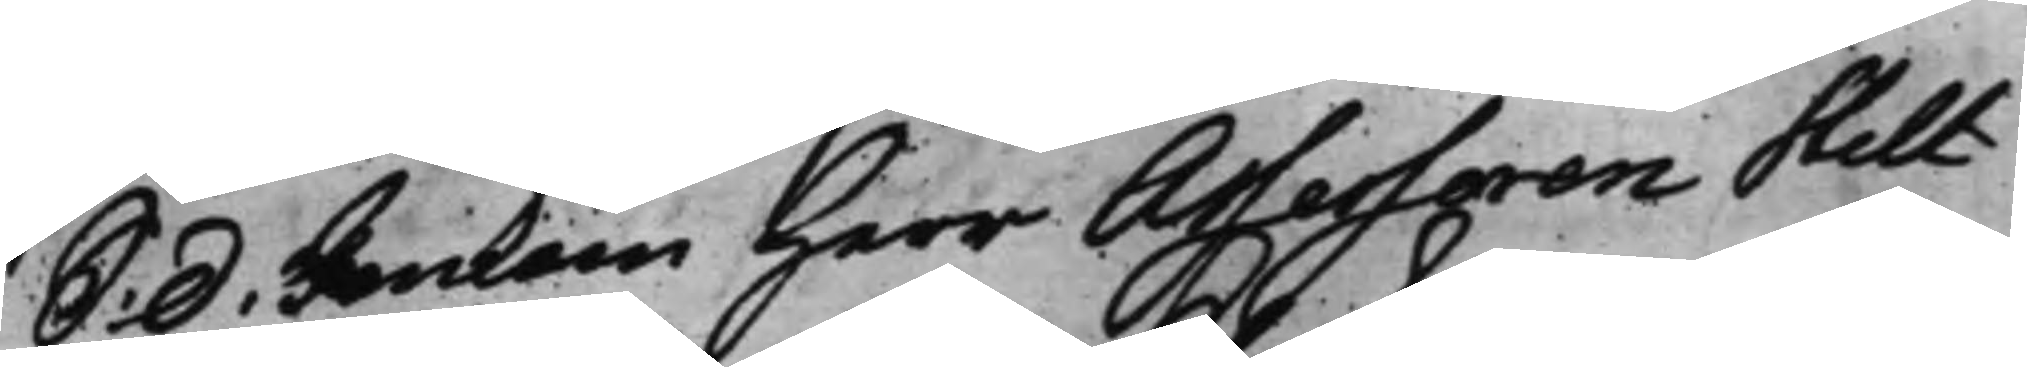S: d: Inkom Herr Assessoren Hult¬
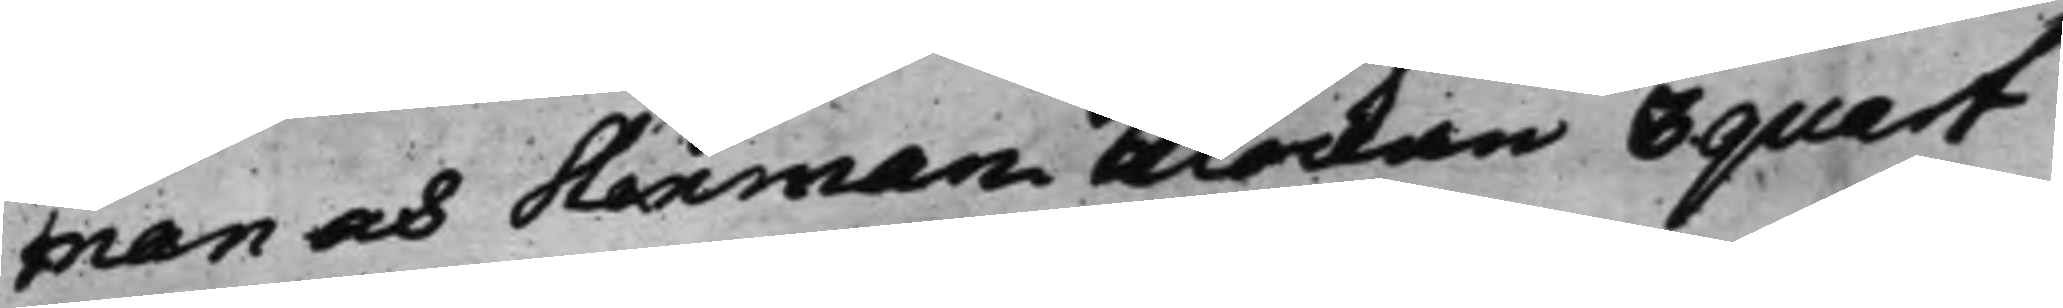man och Stenman klockan 3quart
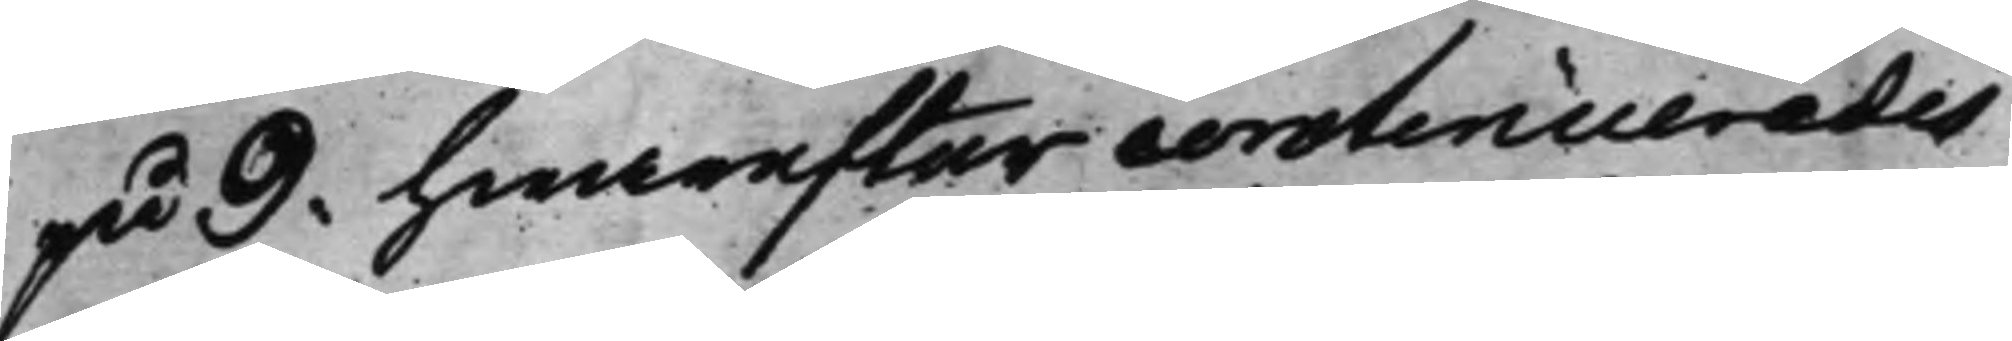på 9: hwarefter continuerades
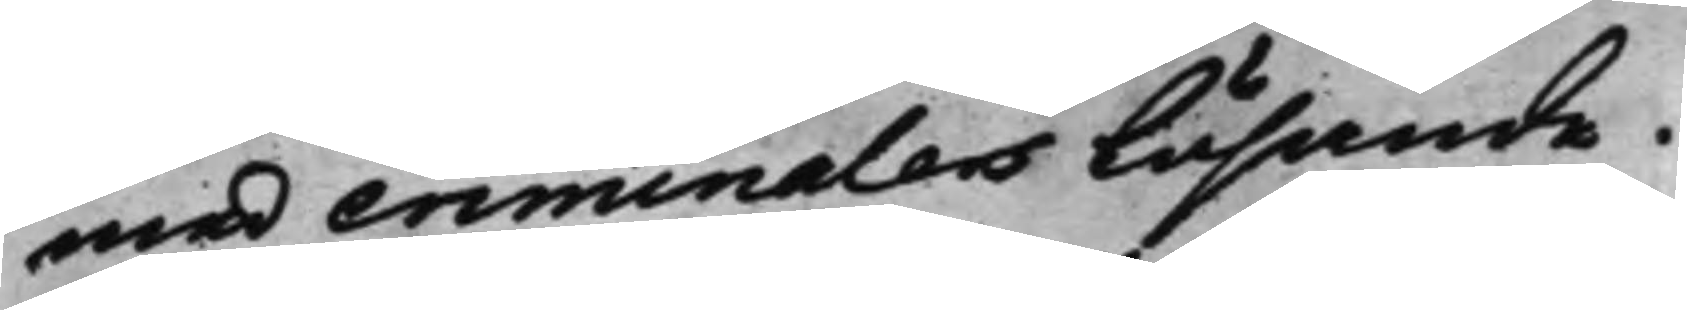med criminalers Läsande.
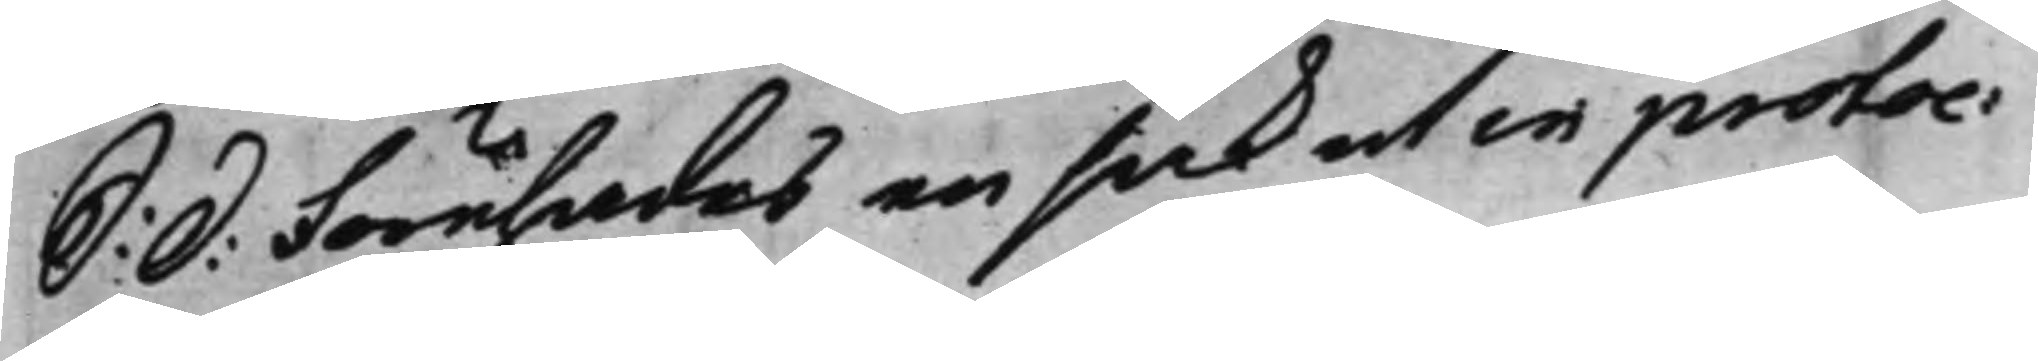S: d: Förehades en sak ut in protoc:
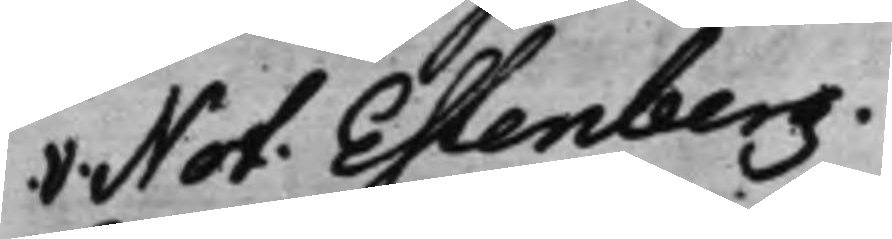V: Not: Estenberg.
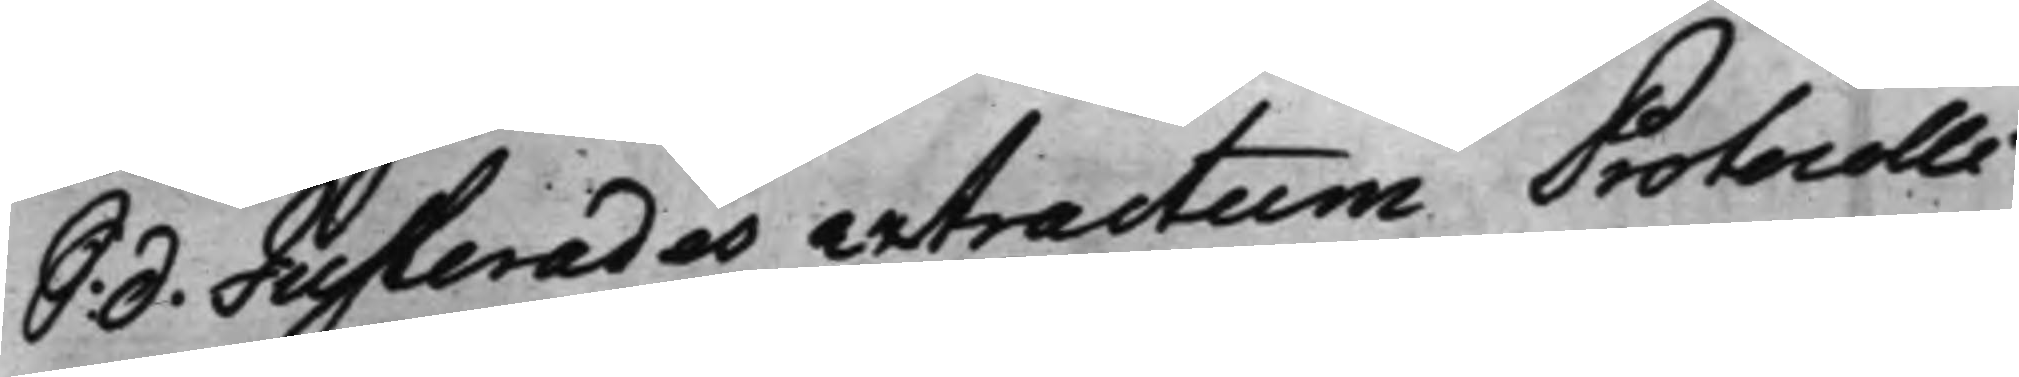S. d. Justerades extractum Protocolli
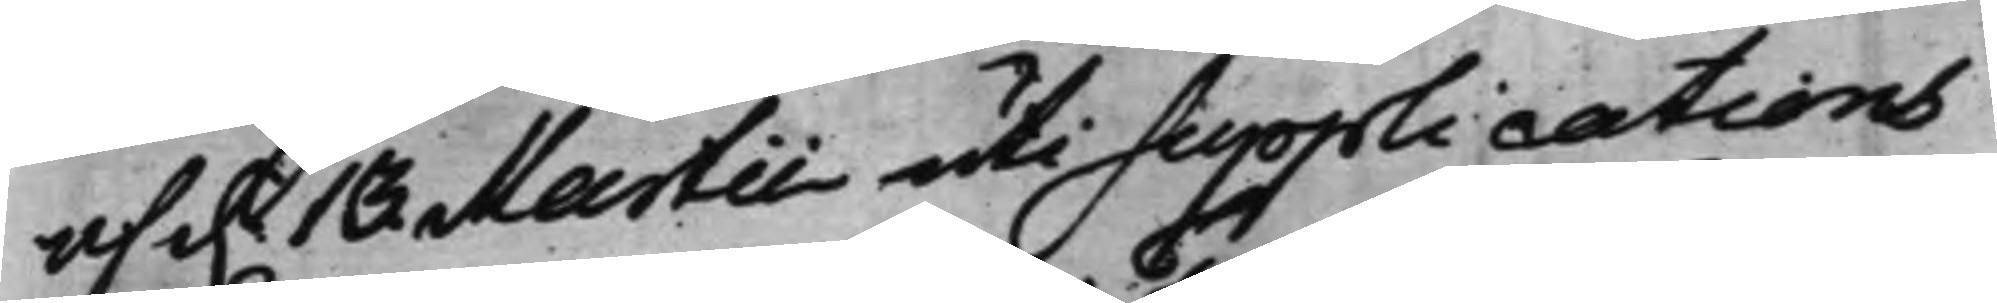af d. 13. Martii uti supplications
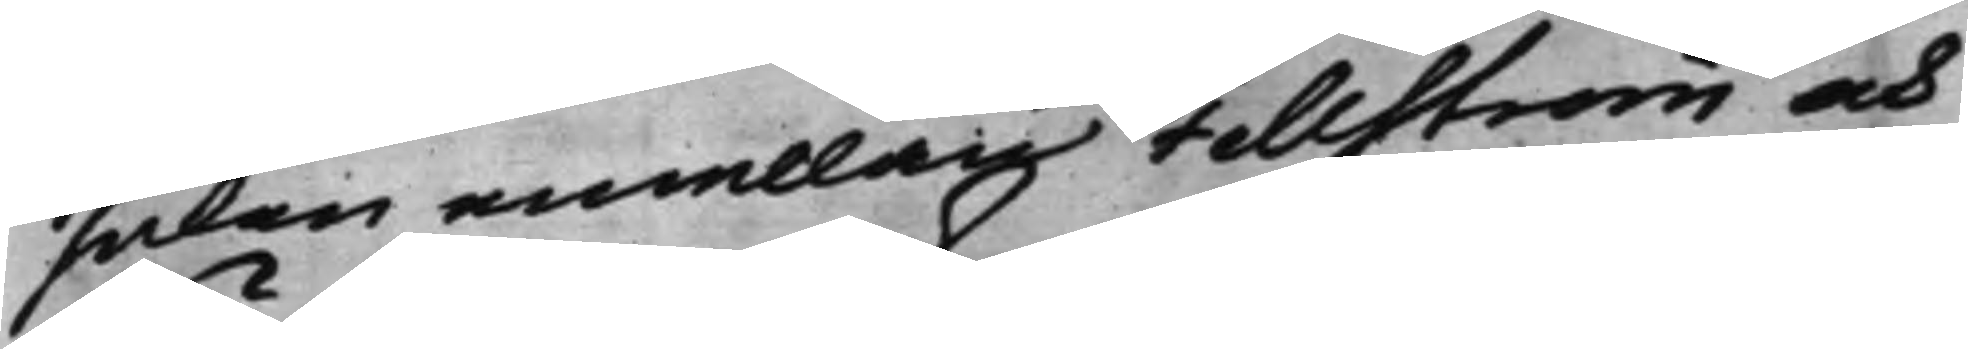saken emellan Fellström och
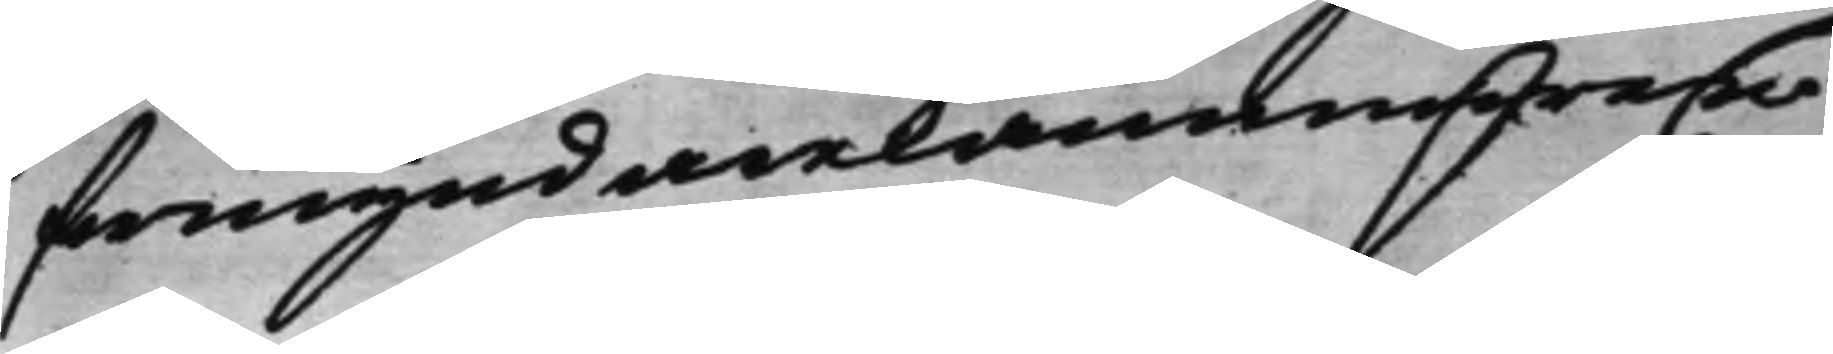förmyndarekammaren,
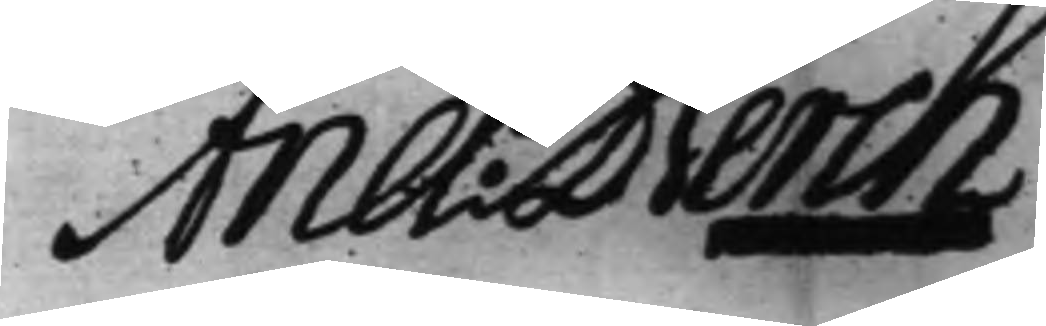And: Berch
